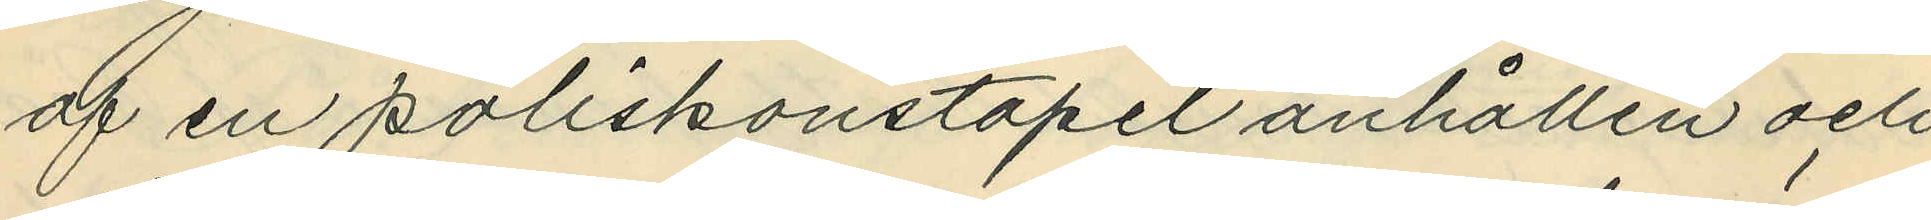af en poliskonstapel anhållen och
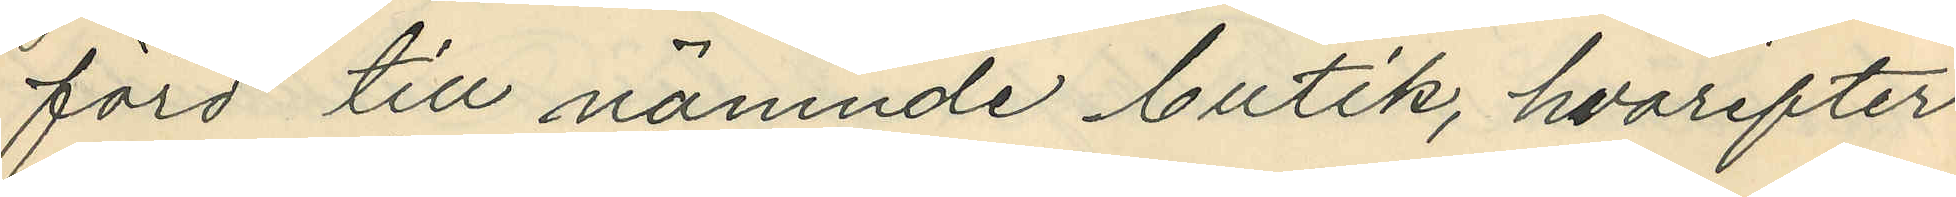förd till nämnde butik, hvarefter
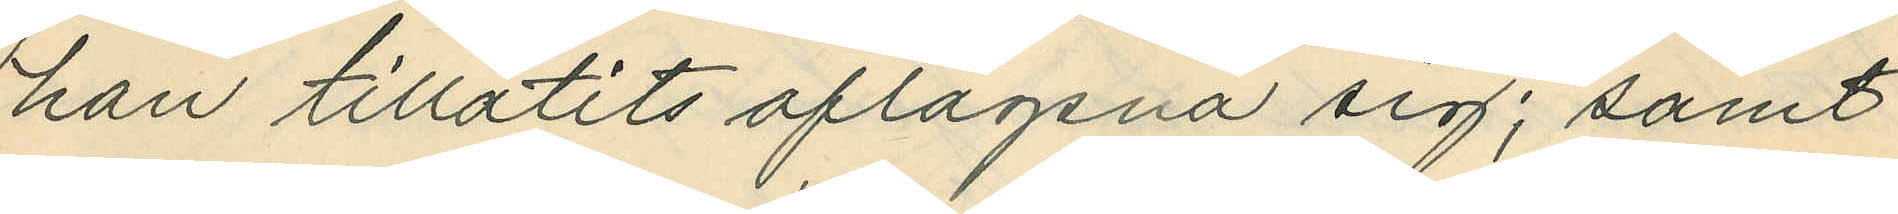han tillåtits aflägsna sig; samt
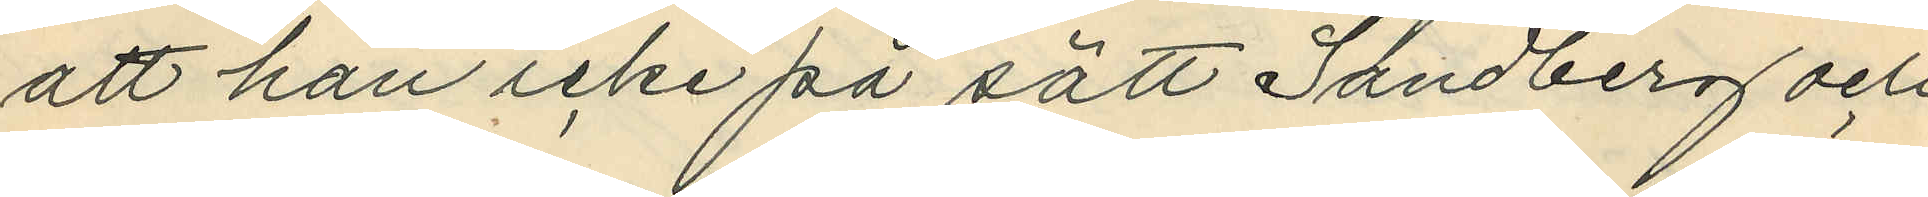att han icke på sätt Sandberg och
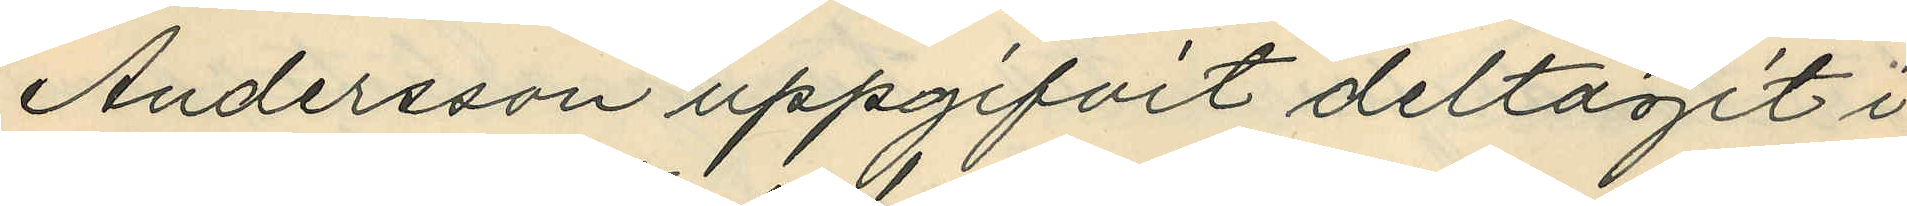Andersson uppgifvit deltagit i
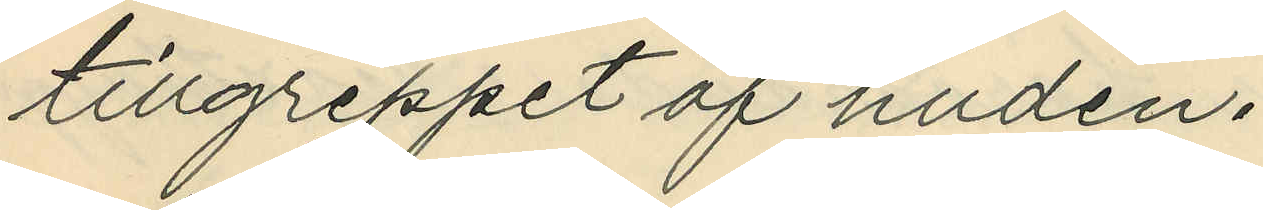tillgreppet af huden.
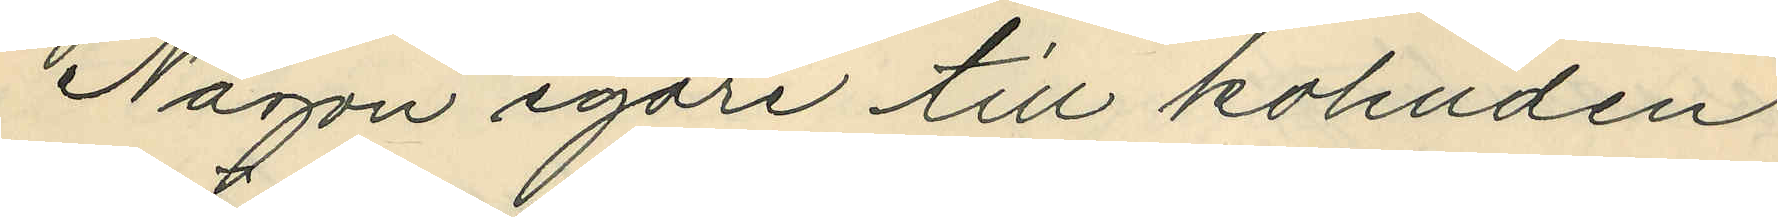Någon egare till kohuden
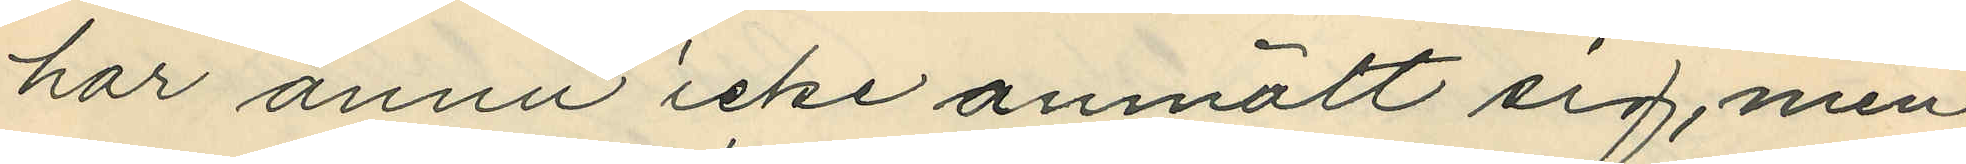har ännu icke anmält sig, men
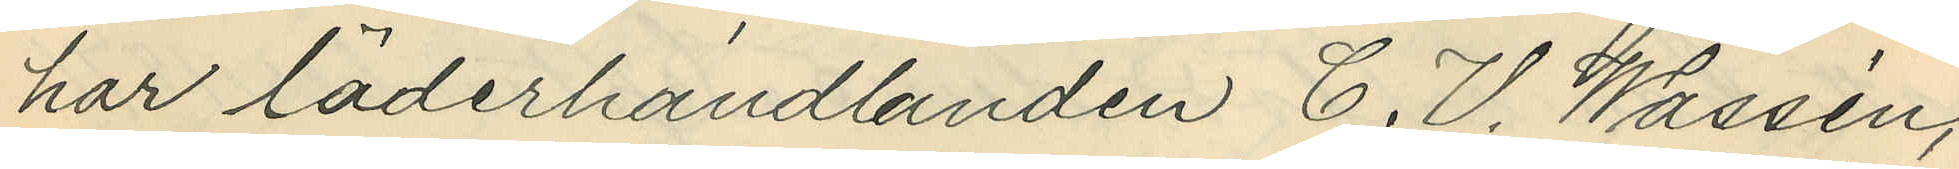har läderhandlanden C. V. Wassén,
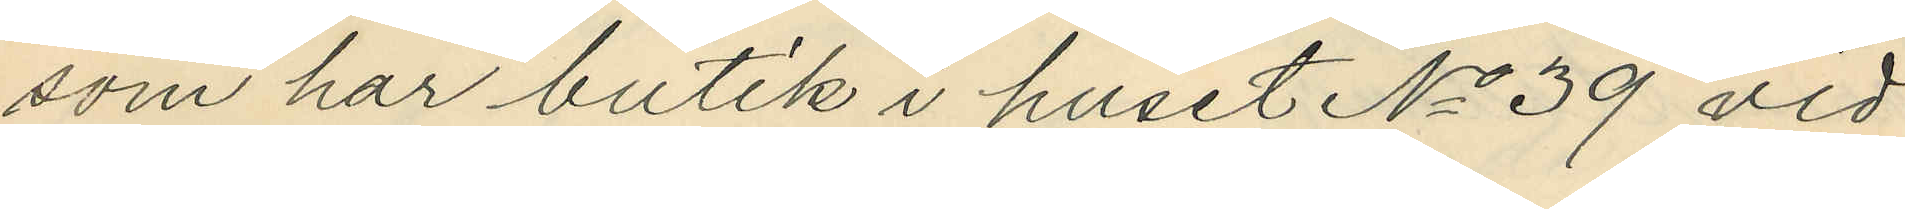som har butik i huset No 39 vid
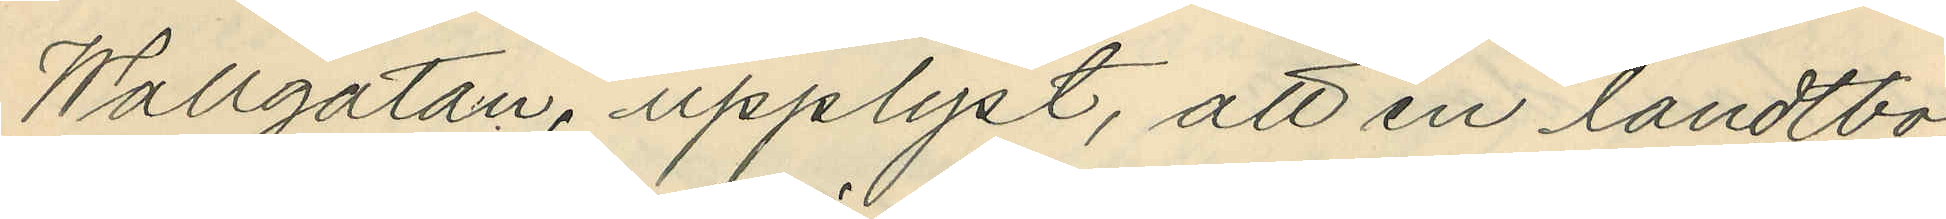Wallgatan, upplyst, att en landtbo,
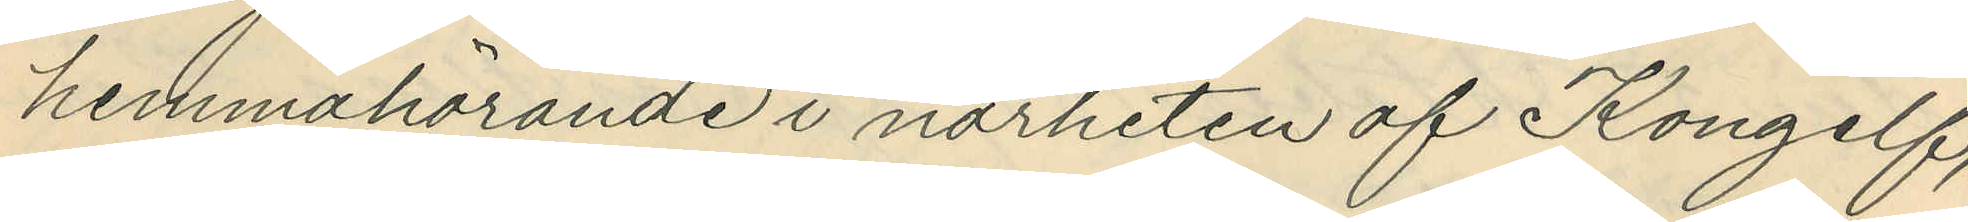hemmahörande i närheten af Kongelf,
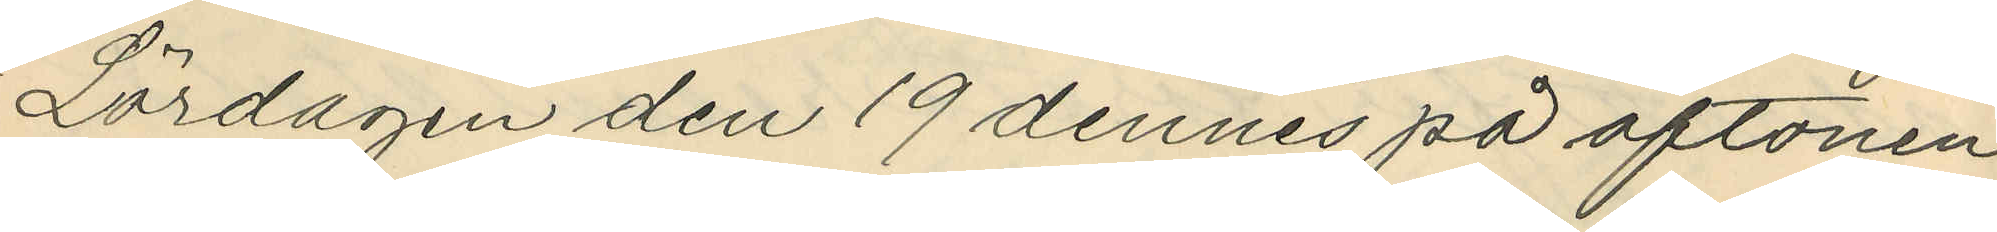Lördagen den 19 dennes på aftonen
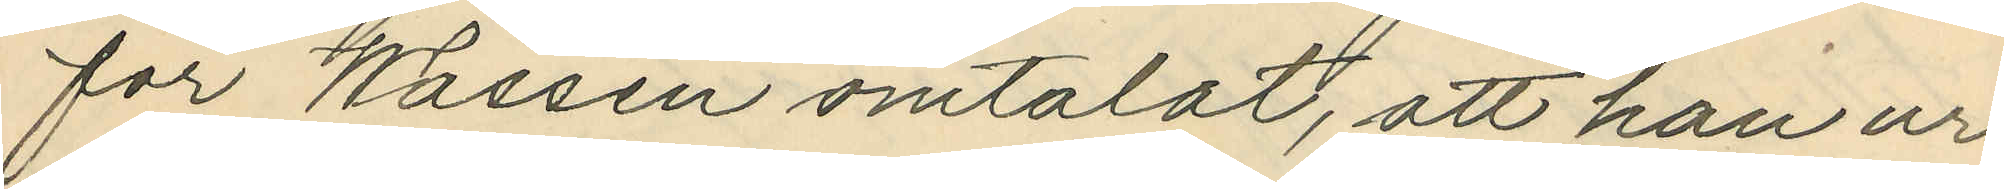för Wassén omtalat, att han ur
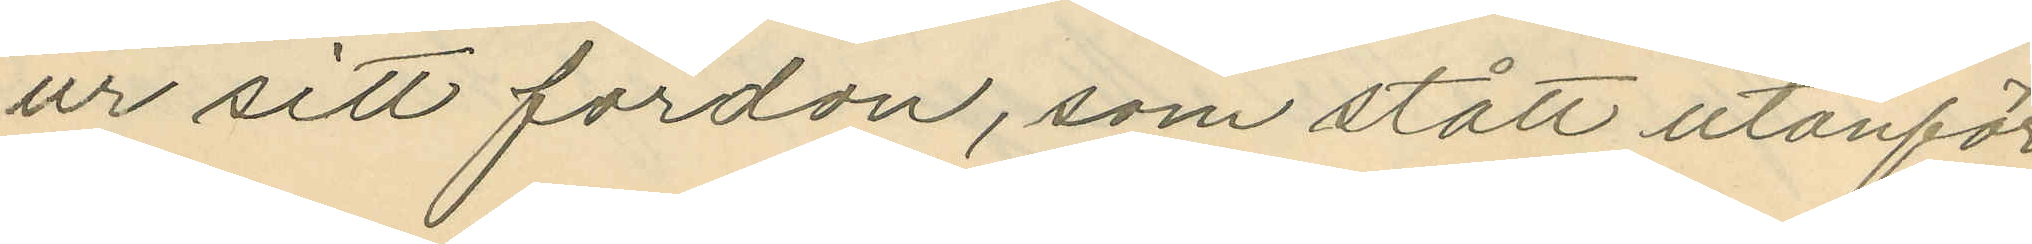ur sitt fordon, som stått utanför
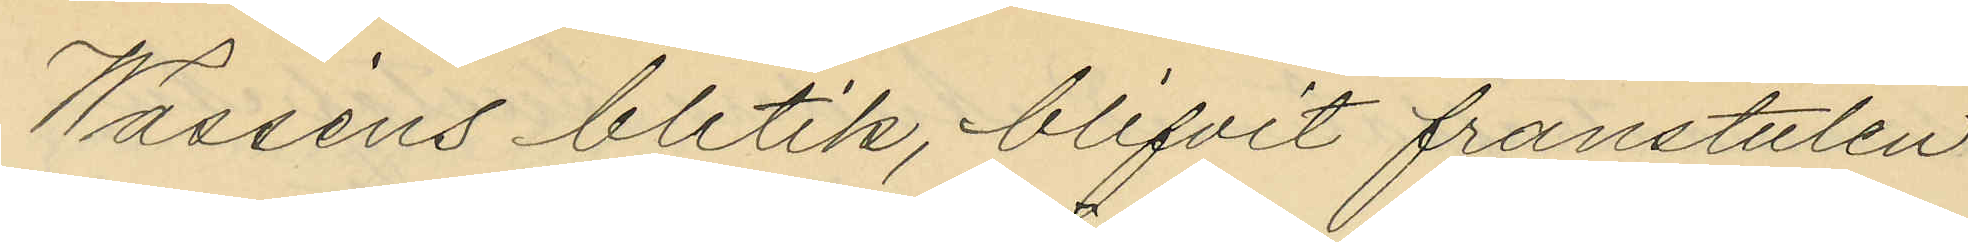Wasséns butik, blifvit frånstulen
